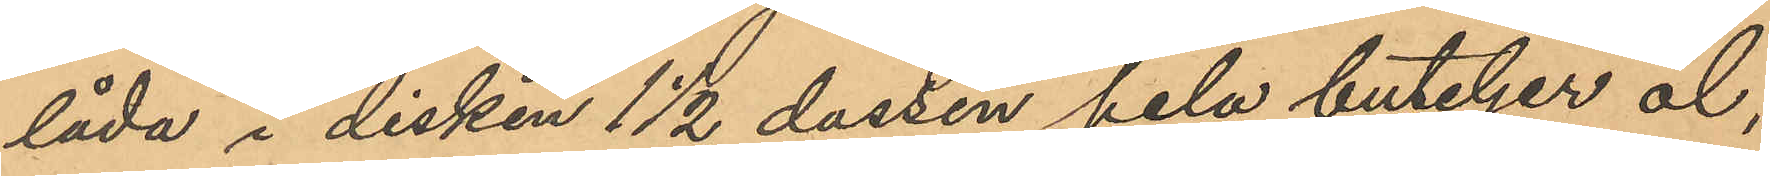låda i disken 1 1/2 dussin hela buteljer öl,
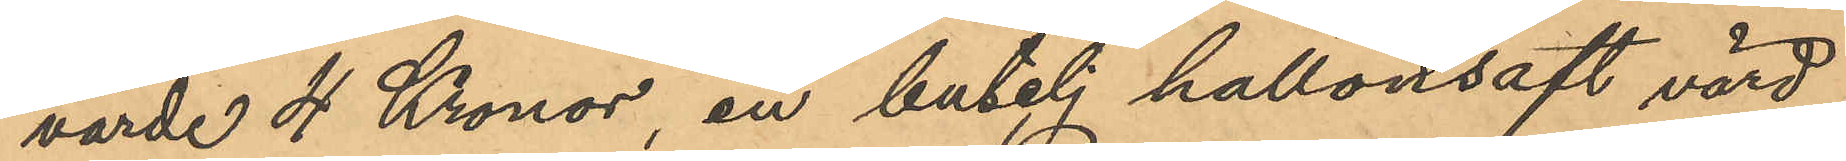värde 4 Kronor, en butelj hallonsaft värd
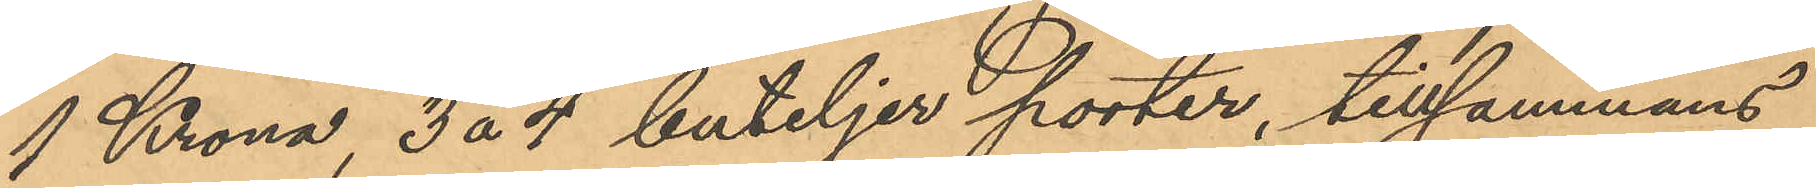1 Krona, 3 á 4 buteljer porter, tillsammans
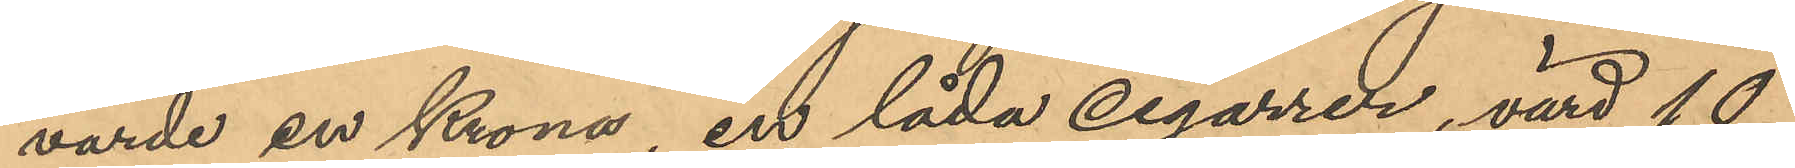värde en Krona, en låda cigarrer, värd 10
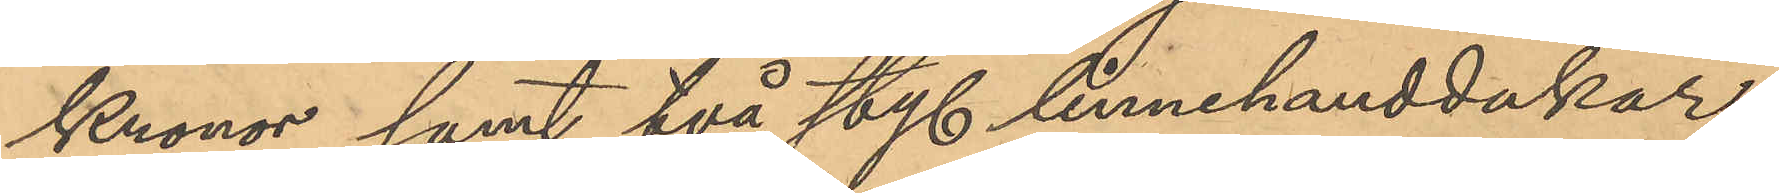Kronor samt två sty. linnehanddukar
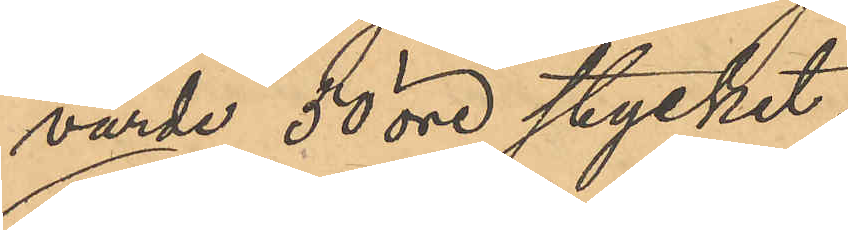värde 50 öre stycket;
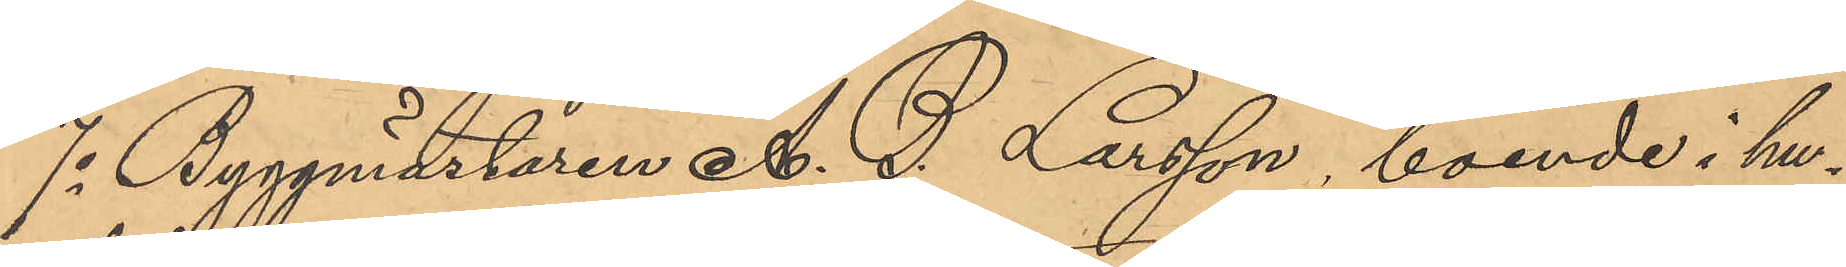7o Byggmästaren A. G. Larsson, boende i hu¬
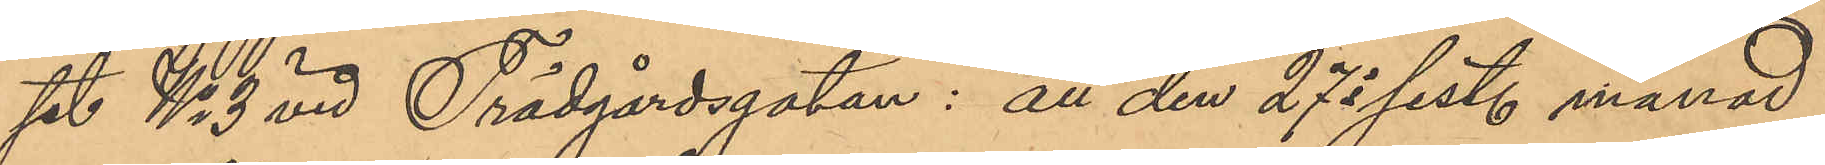set No 3 vid Trädgårdsgatan: att den 27 i sist. månad
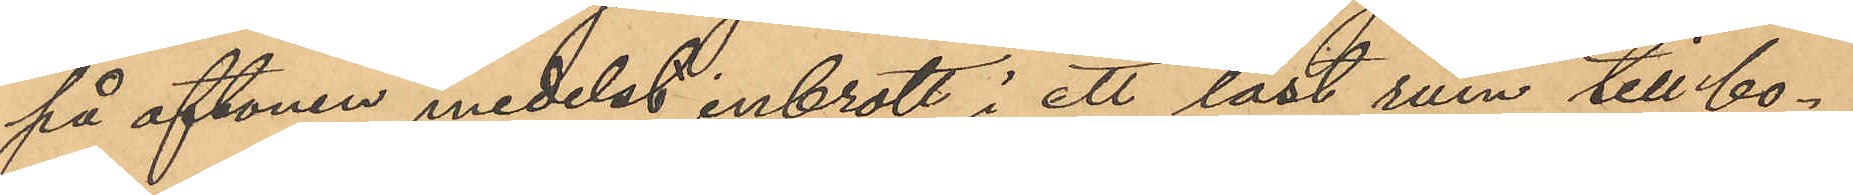på aftonen medelst inbrott i ett låst rum till bo¬
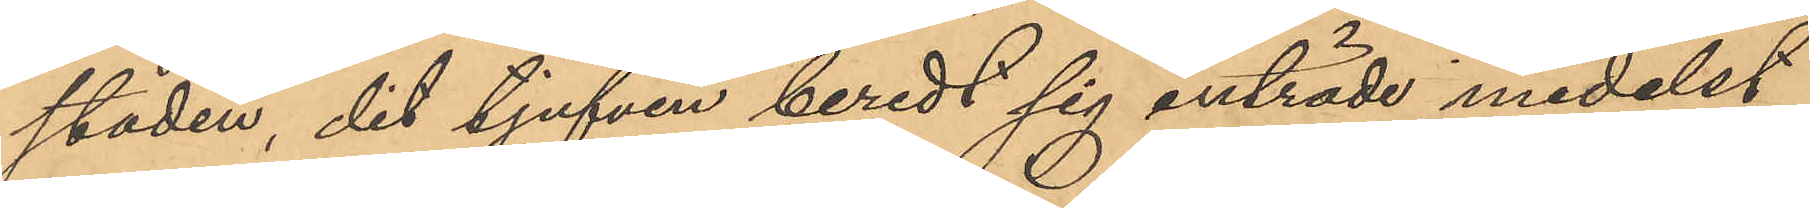staden, dit tjufven beredt sig inträde medelst
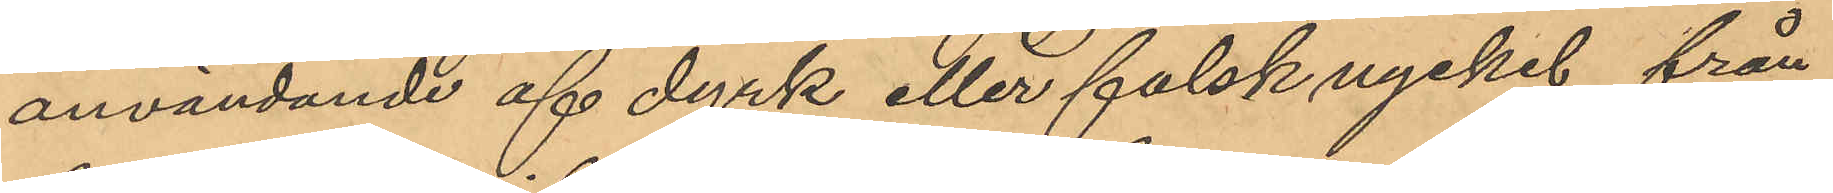användande af dyrk eller falsk nyckel från
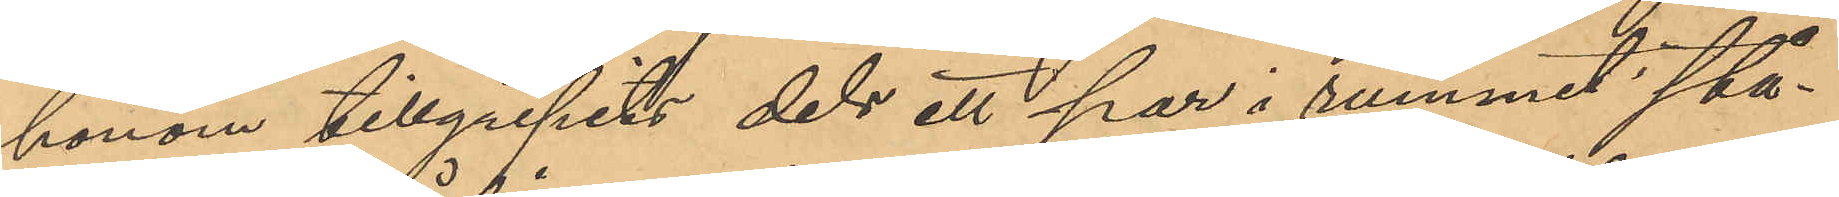honom tillgripits dels ett par i rummet stå¬
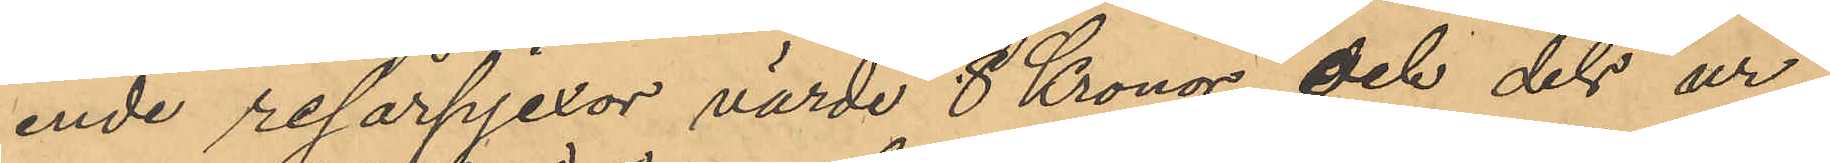ende resårpjexor värde 8 Kronor, och dels ur
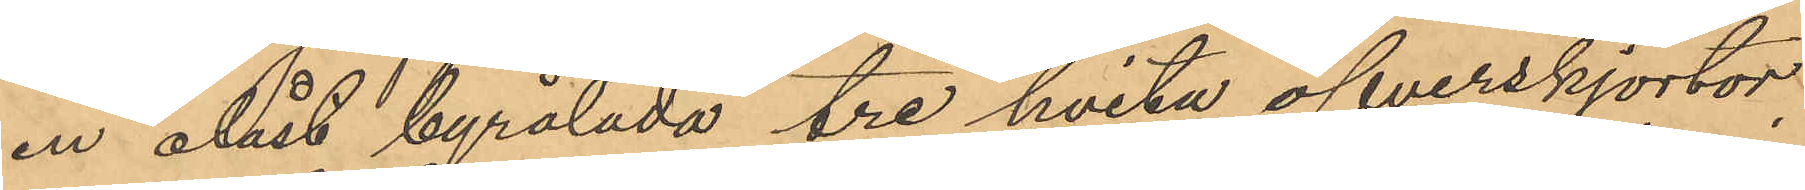en olåst byrålåda tre hvita öfverskjortor,
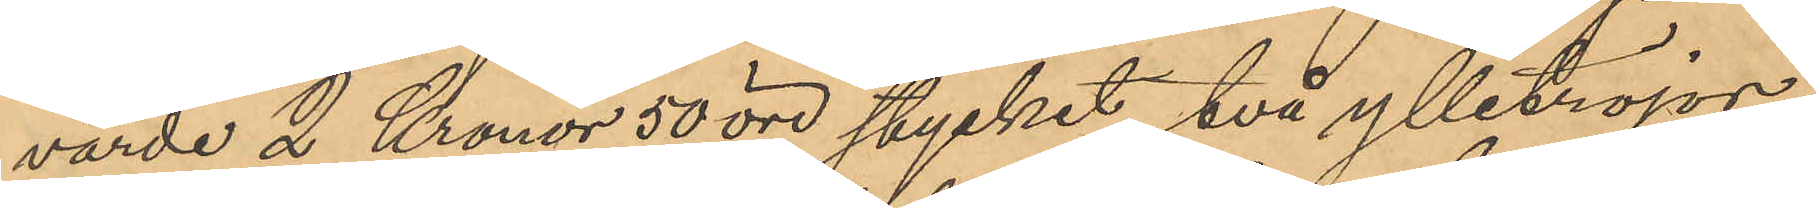värde 2 Kronor 50 öre stycket, två ylletröjor
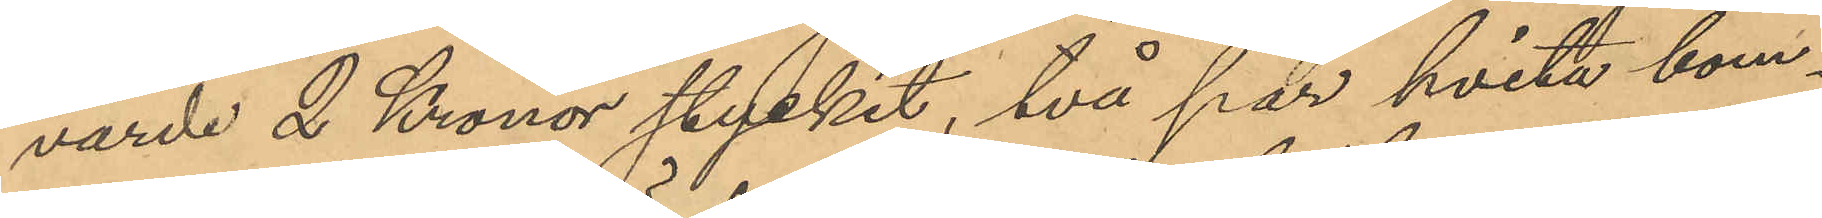värde 2 Kronor stycket, två par hvita bom¬
